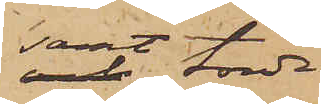samt torde
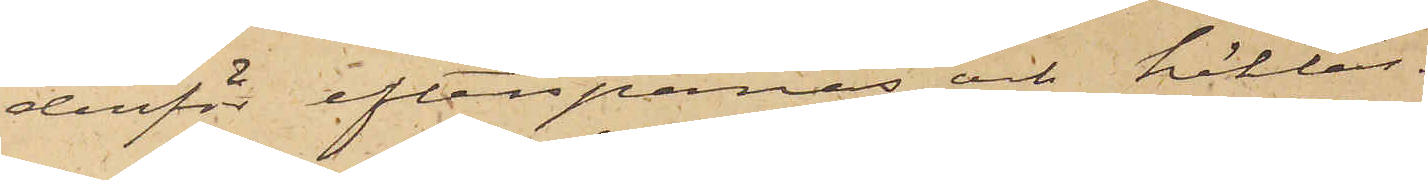derför efterspanas och häktas.
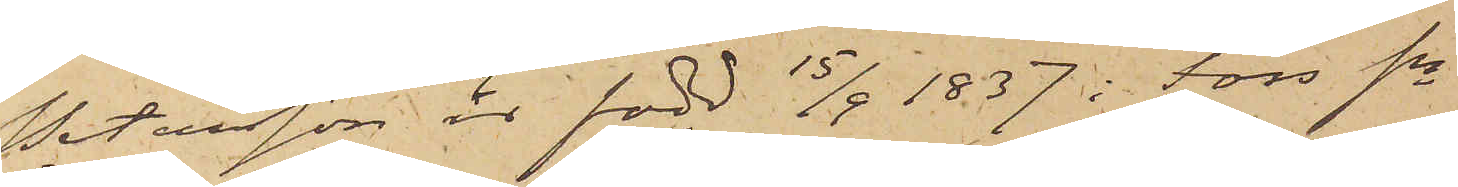Petersson är född 15/9 1837 i Fors sn
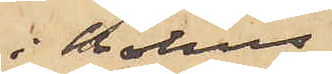i Holms
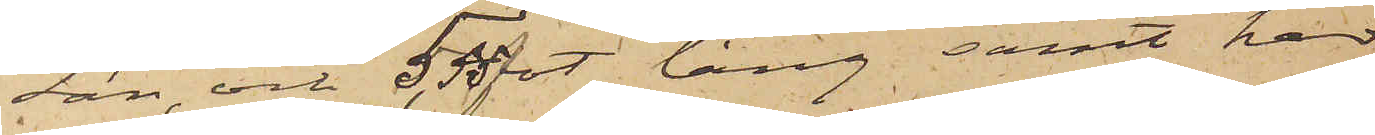Län, och 5.55 fot lång samt har
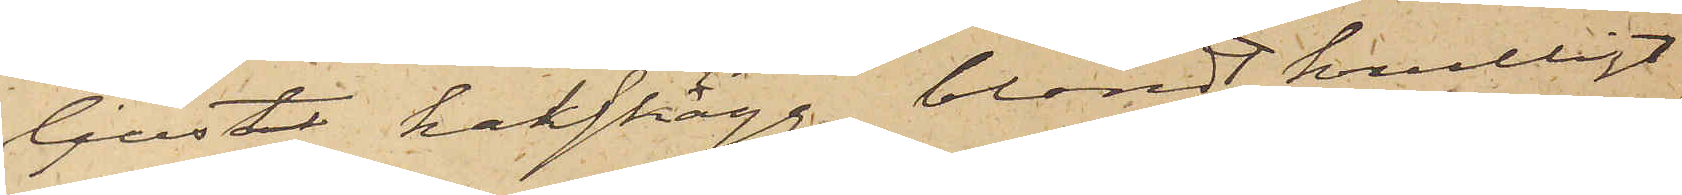ljust hakskägg, blondt krulligt
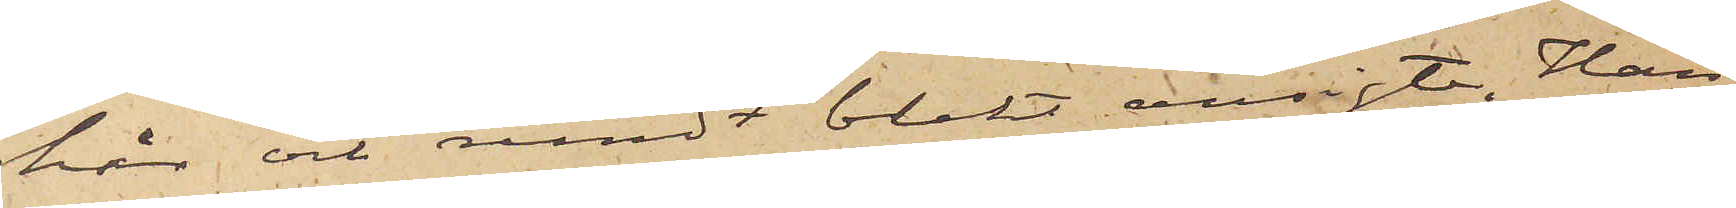hår och rundt blekt ansigte. Han
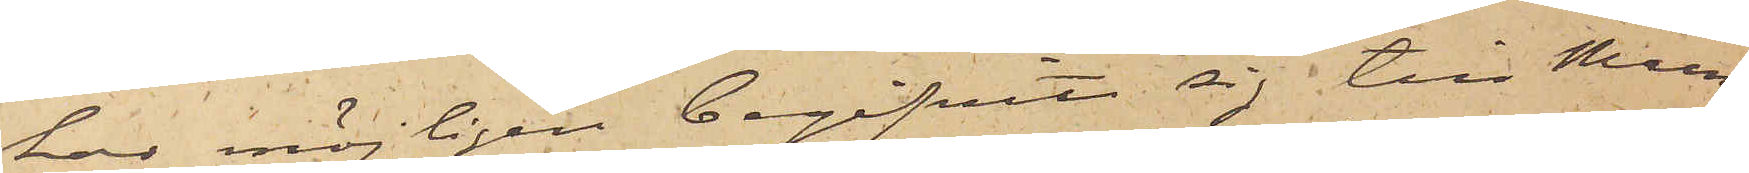har möjligen begifvit sig till Mun¬
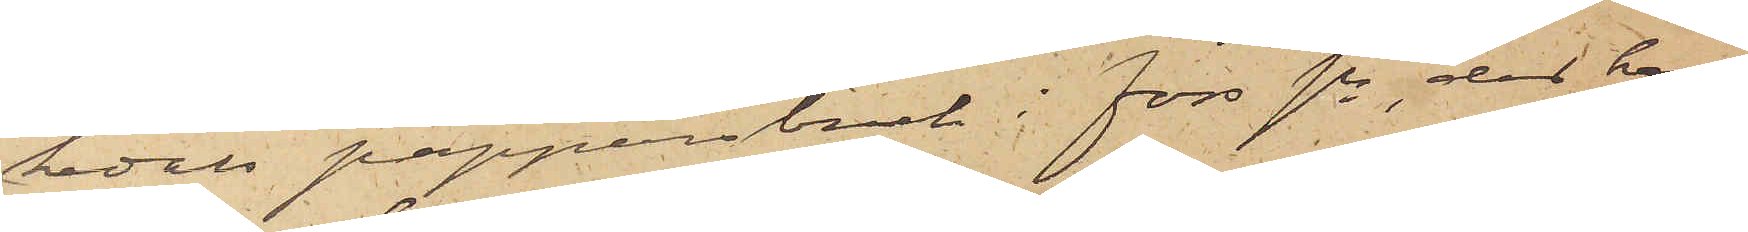kedals papperbruk i Fors sn, der hans
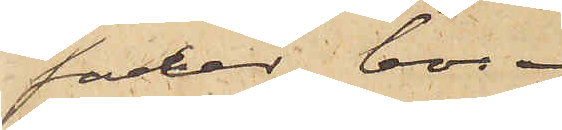fader bor.
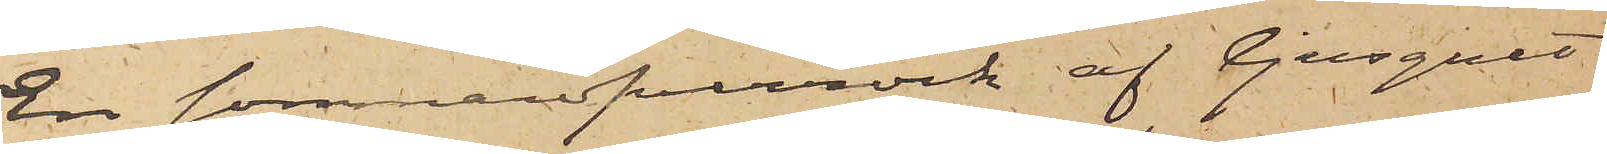En sommaröfverrock af ljusgult
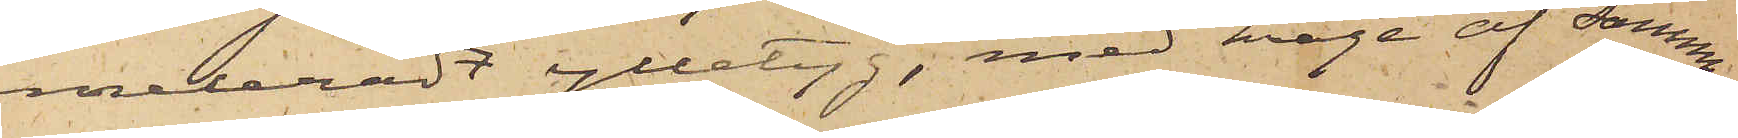meleradt ylletyg, med krage af samma
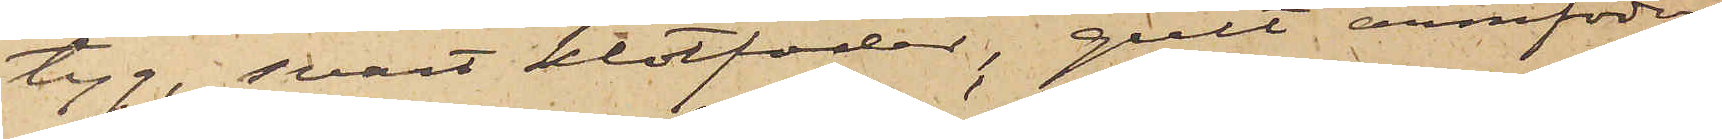tyg, svart klotfoder, gult armfoder,
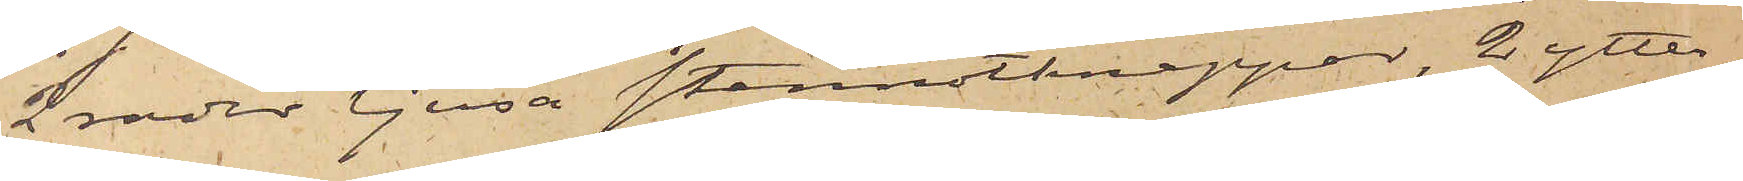2 rader ljusa stennötknappar, 2 ytter¬
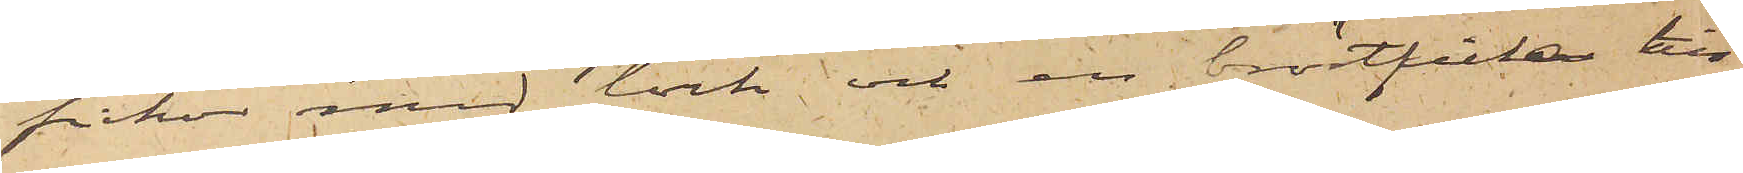fickor med lock och en bröstficka till
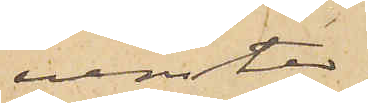venster.
